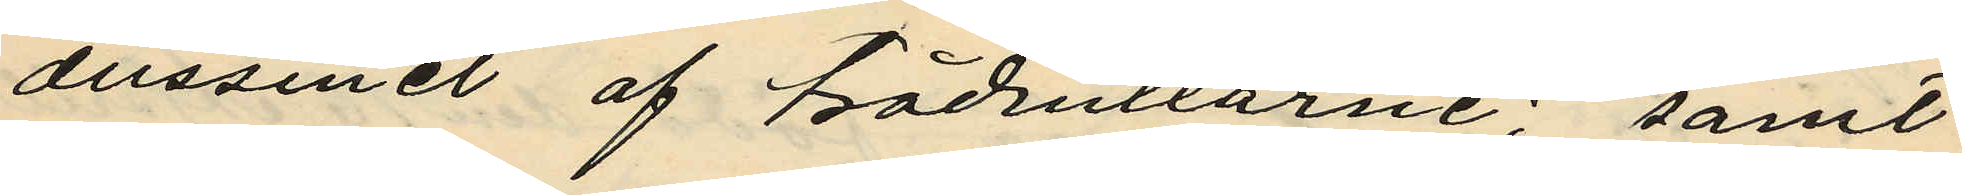dussinet af trådrullarne; samt
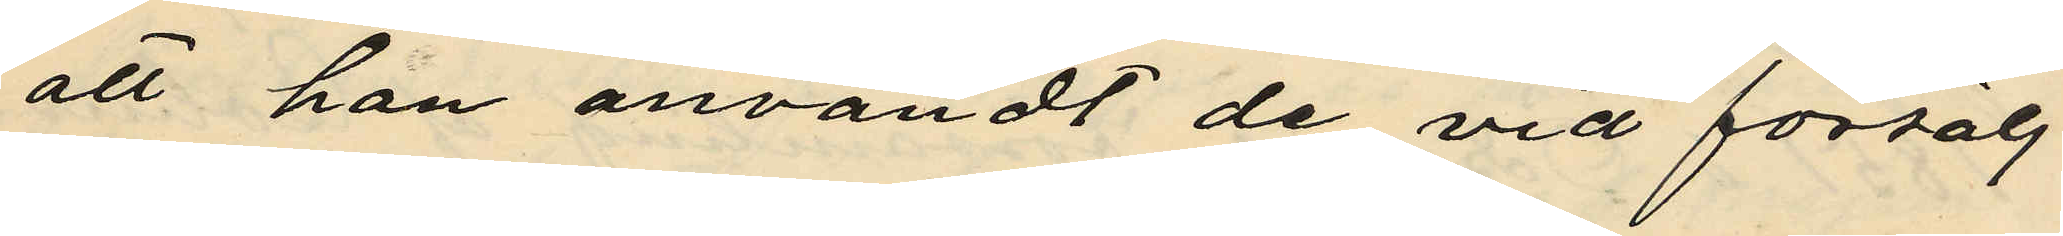att han användt de vid försälj¬
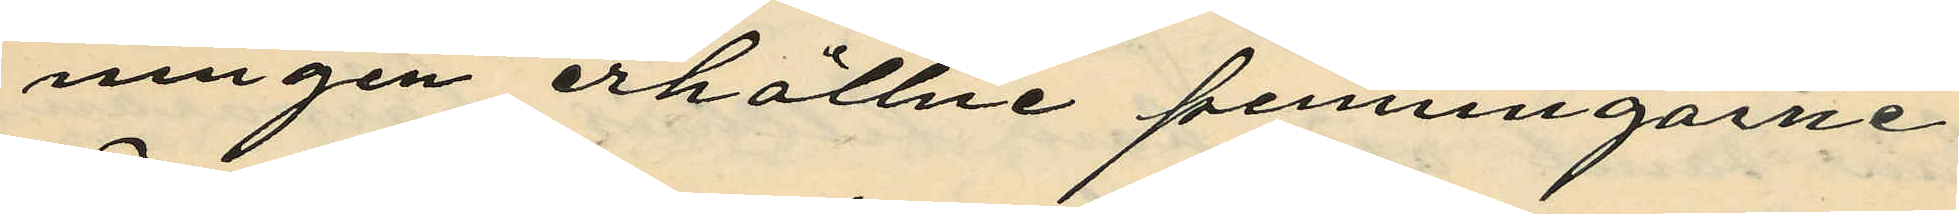ningen erhållne penningarne
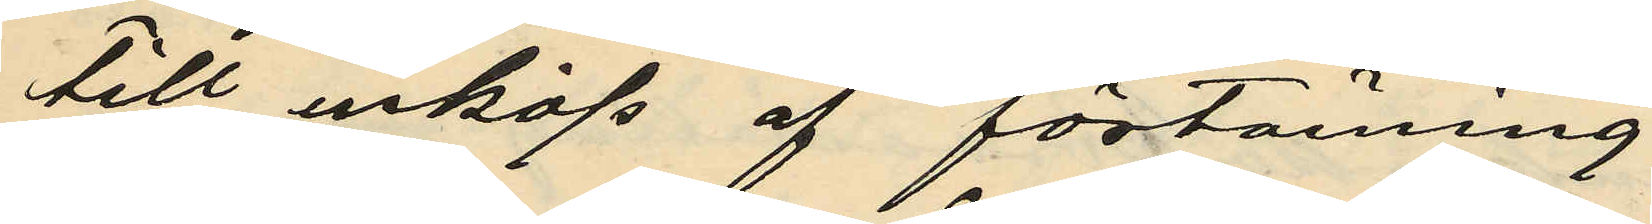till inköp af förtäning
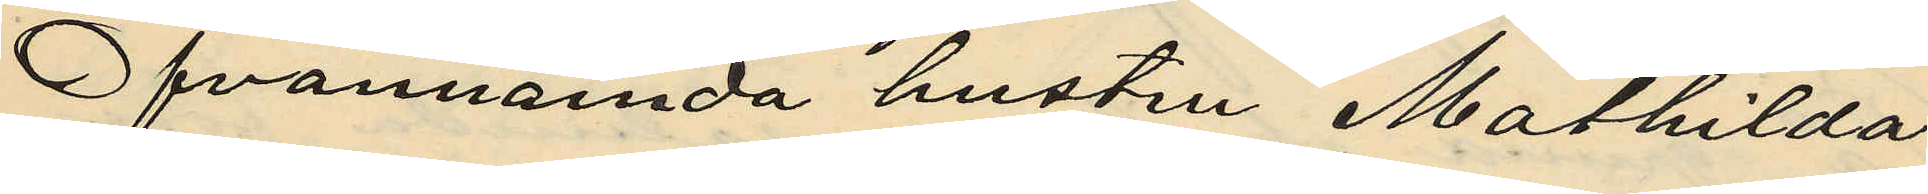Ofvannämda hustru Mathilda
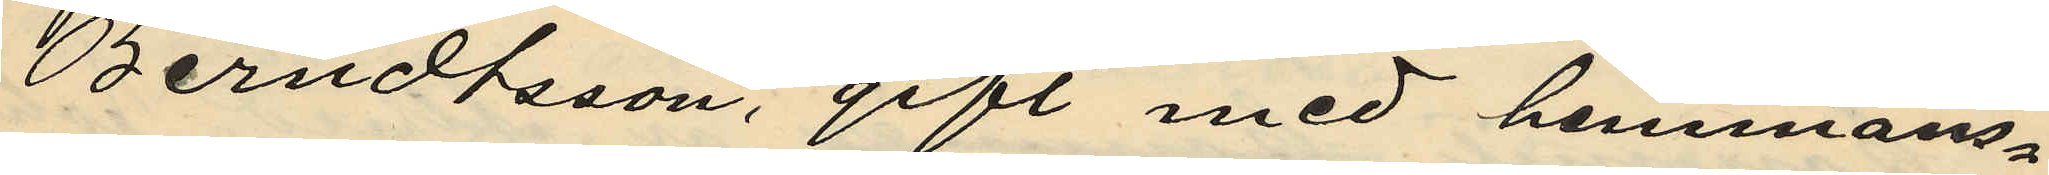Berndtsson, gift med hemmans¬
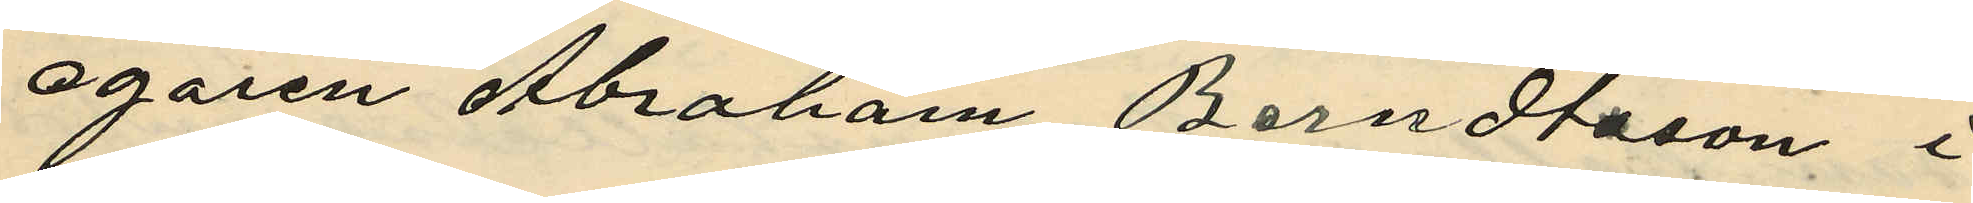egaren Abraham Berndtsson, i
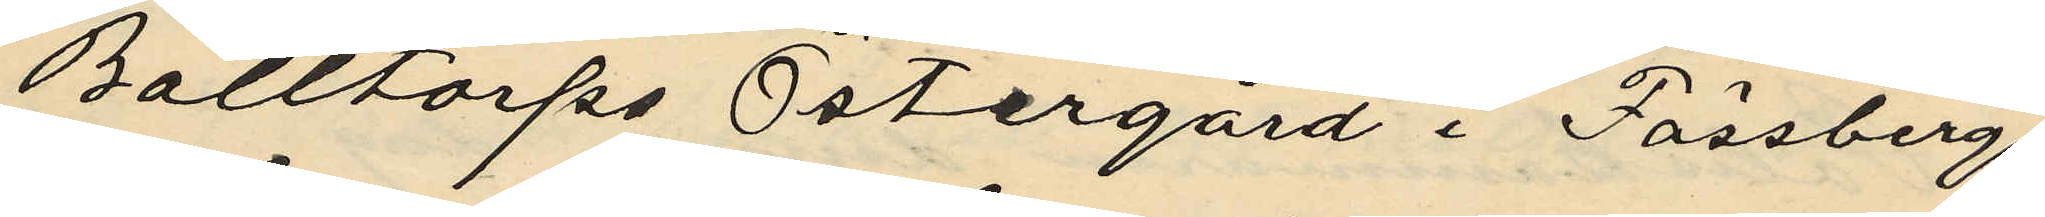Balltorps Östergård i Fässbergs
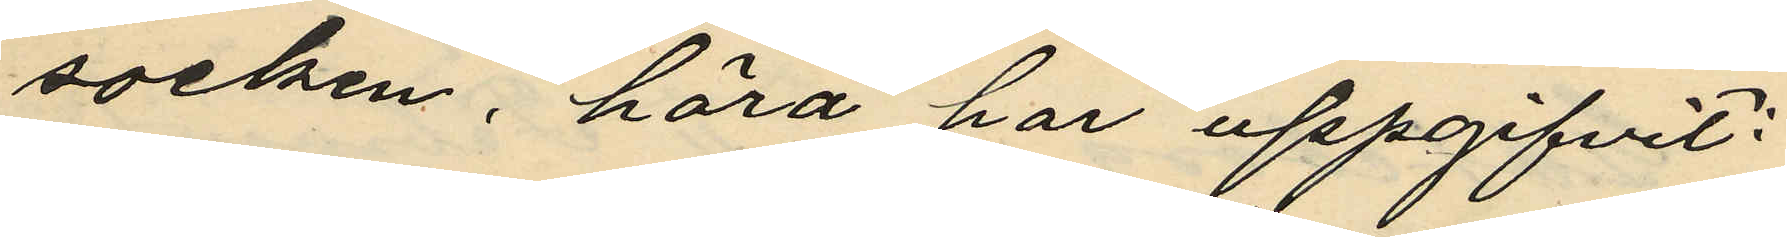socken, hörd har uppgifvit:
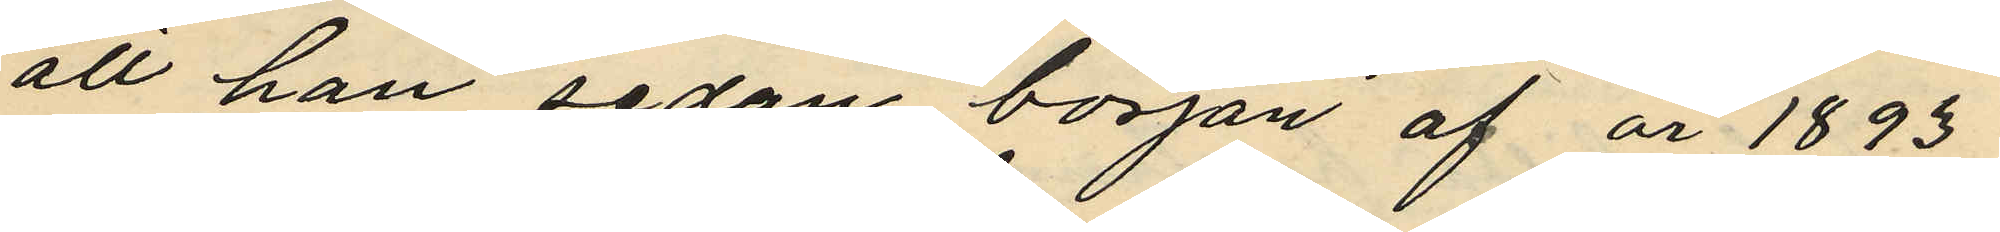att hon sedan början af år 1893
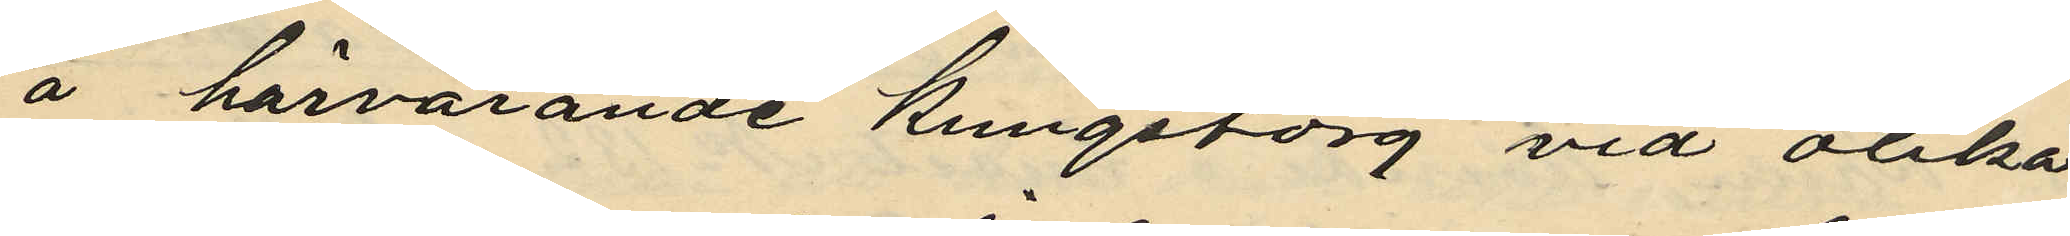å härvarande Kungstorg vid olika
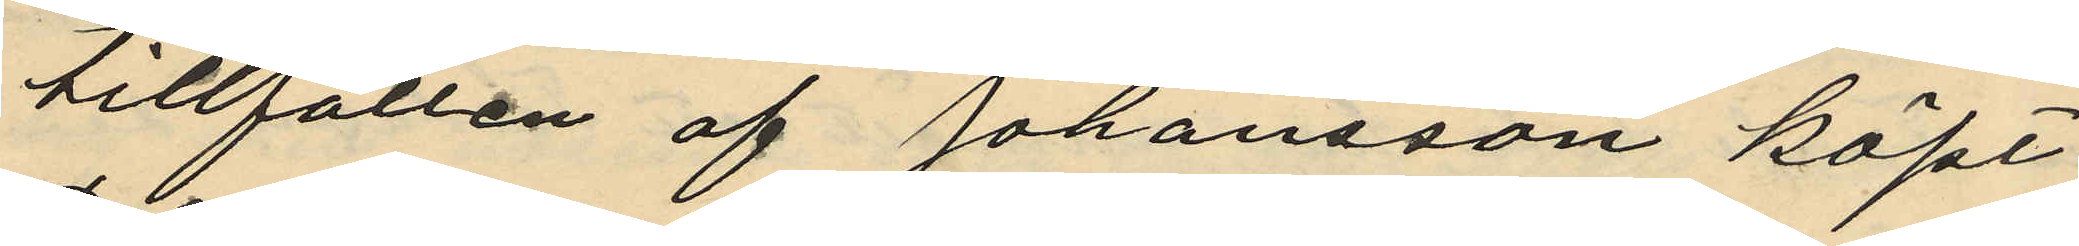tillfällen af Johansson köpt
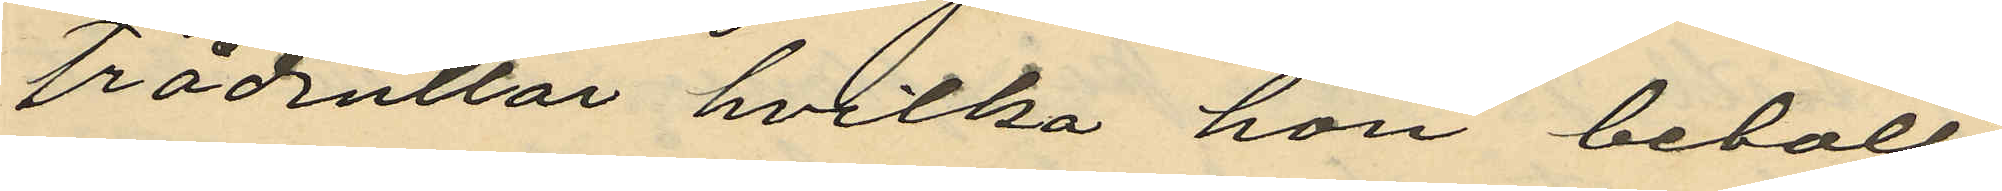trådrullar hvilka hon betalt
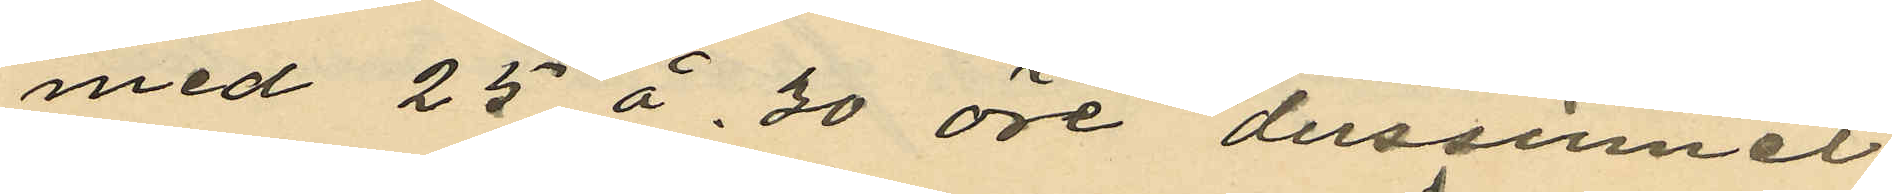med 25 á 30 öre dussinet
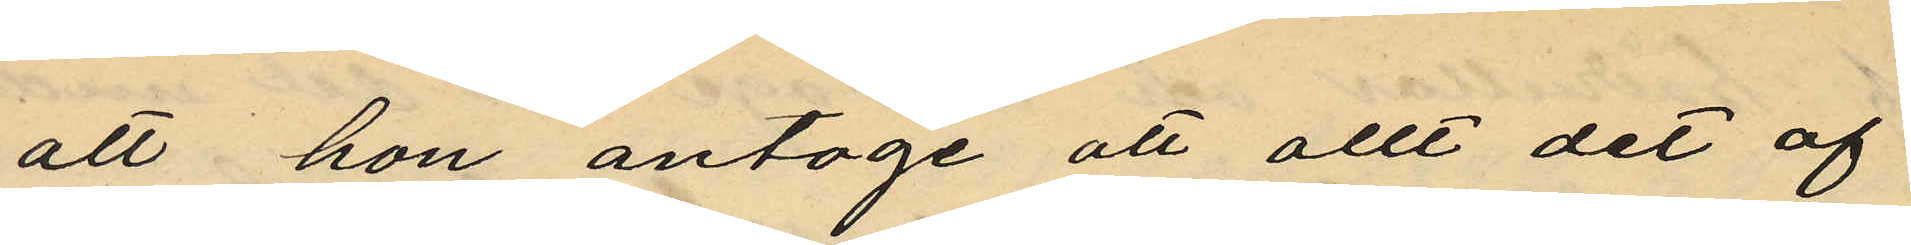att hon antoge att allt det af
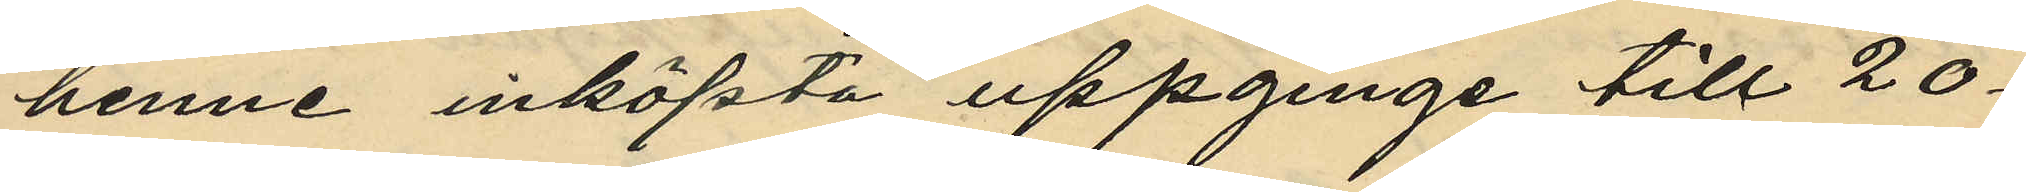henne inköpta uppginge till 20-
